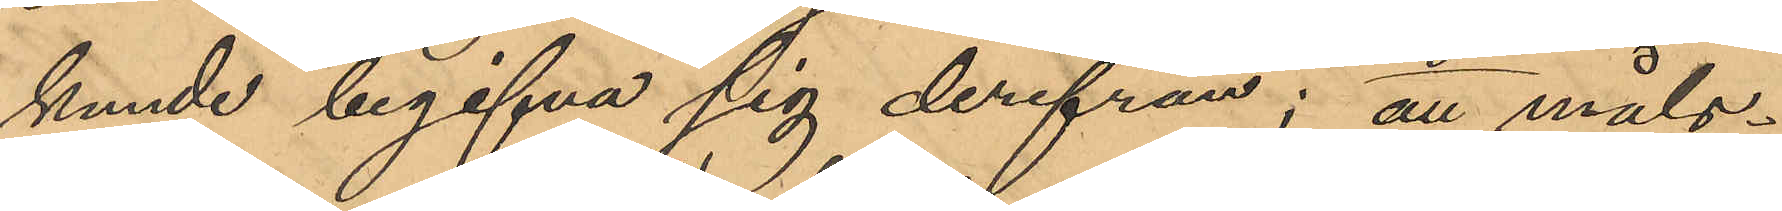kunde begifva sig derifrån; att måls¬
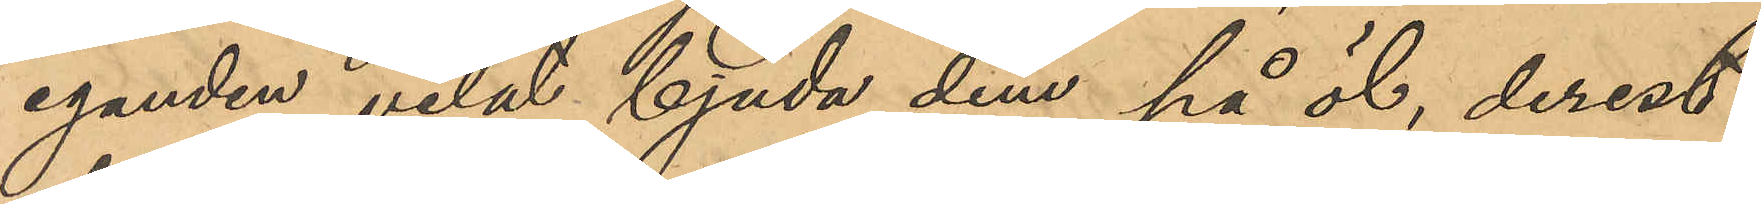eganden velat bjuda dem på öl, derest
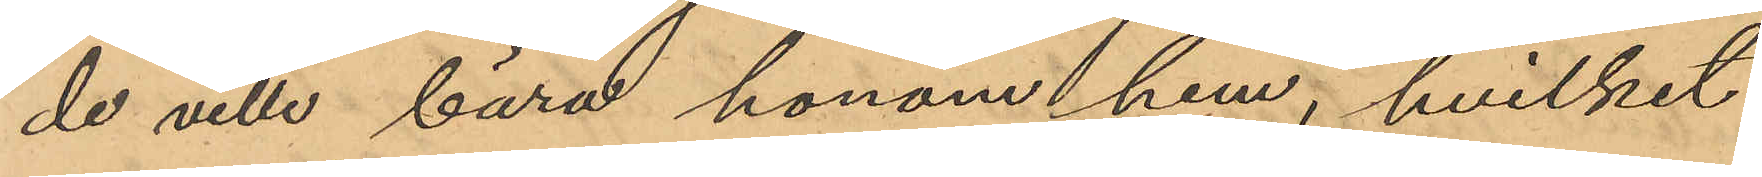de ville bära honom hem, hvilket
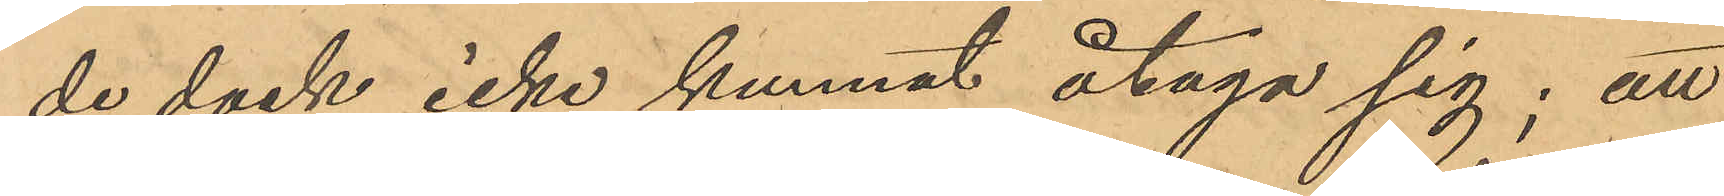de dock icke kunnat åtaga sig; att
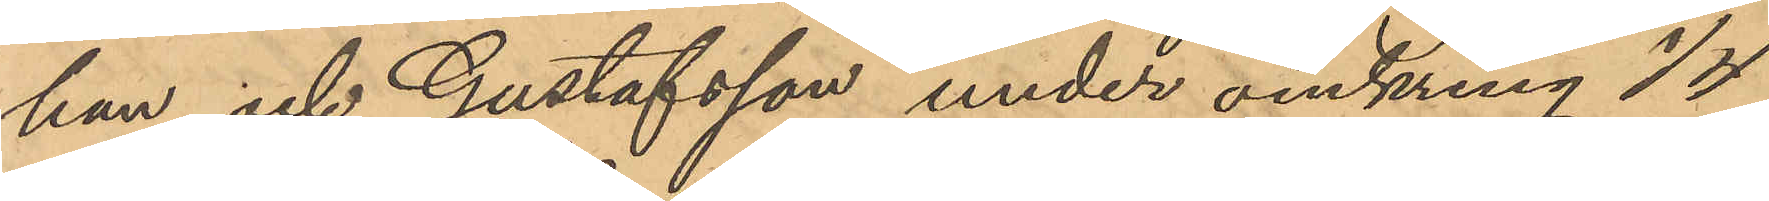han och Gustafsson under omkring 1/4
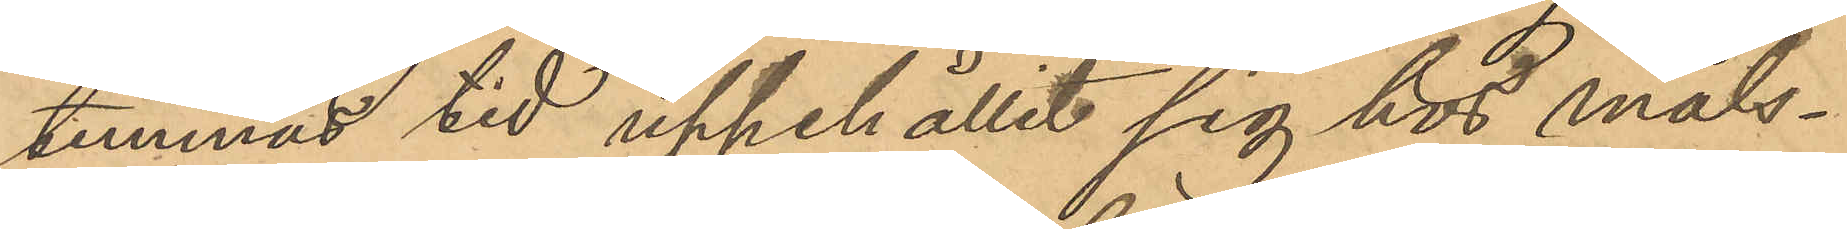timmas tid uppehållit sig hos måls¬
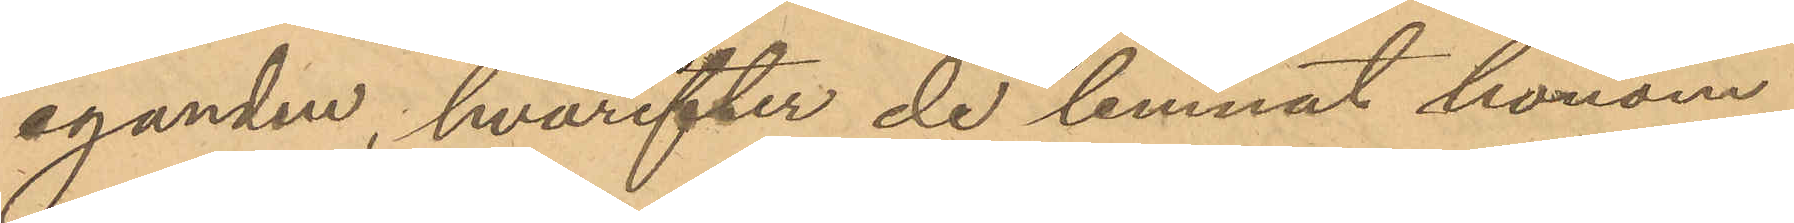eganden, hvarefter de lemnat honom
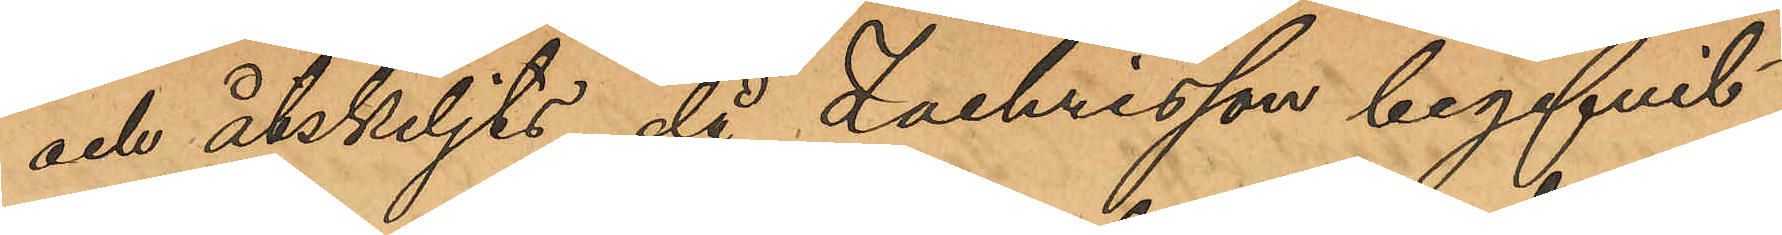och åtskiljts, då Zachrisson begifvit
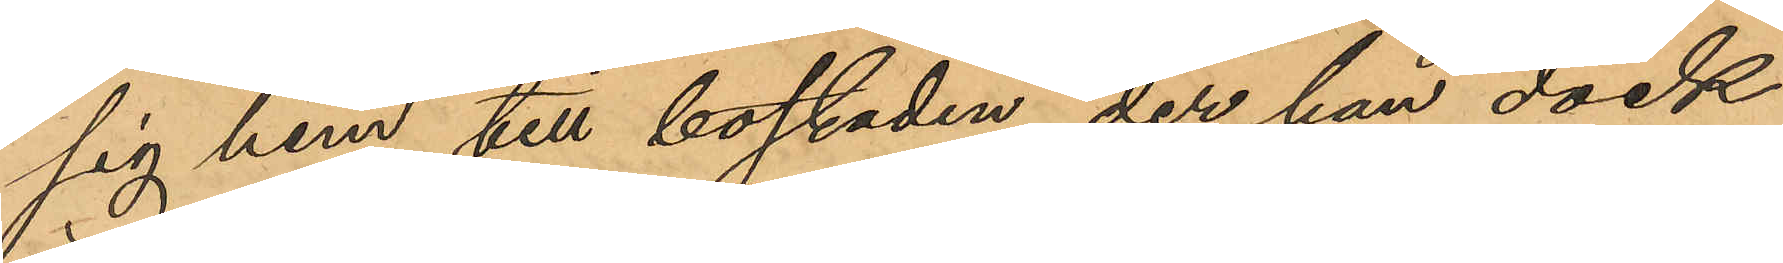sig hem till bostaden, der han dock
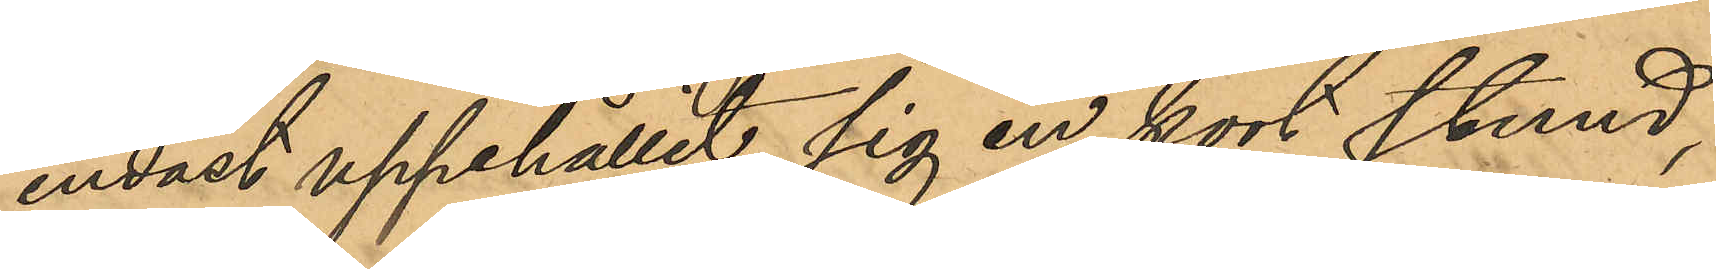endast uppehållit sig en kort stund,
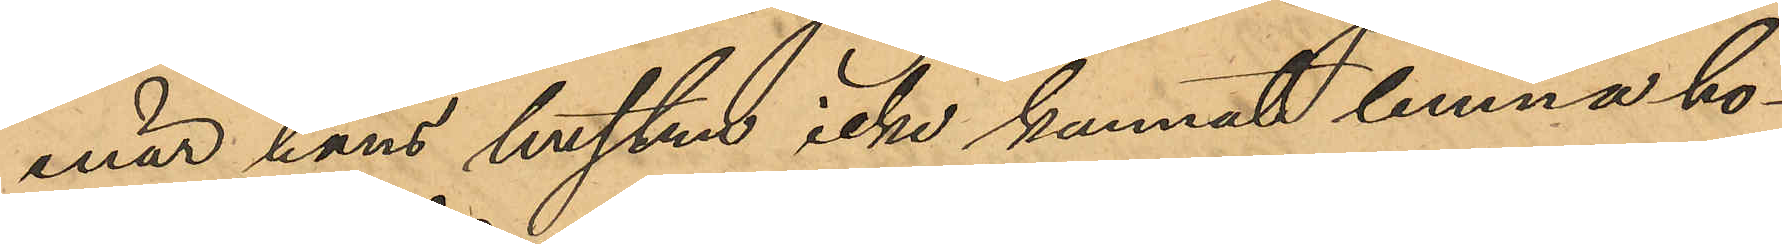enär hans hustru icke kunnat lemna ho¬
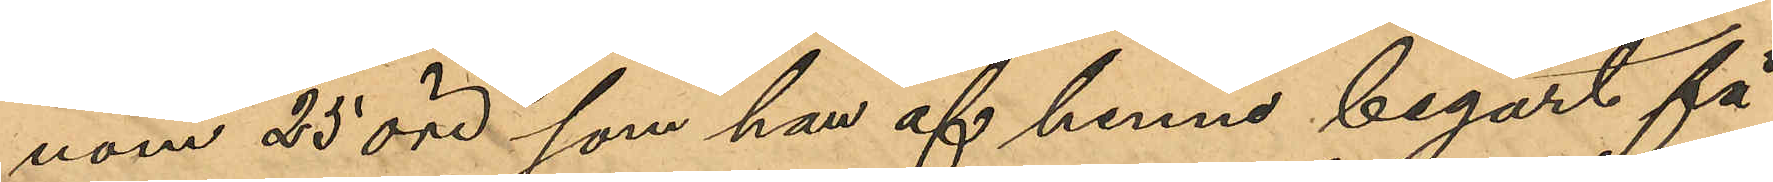nom 25 öre, som han af henne begärt få
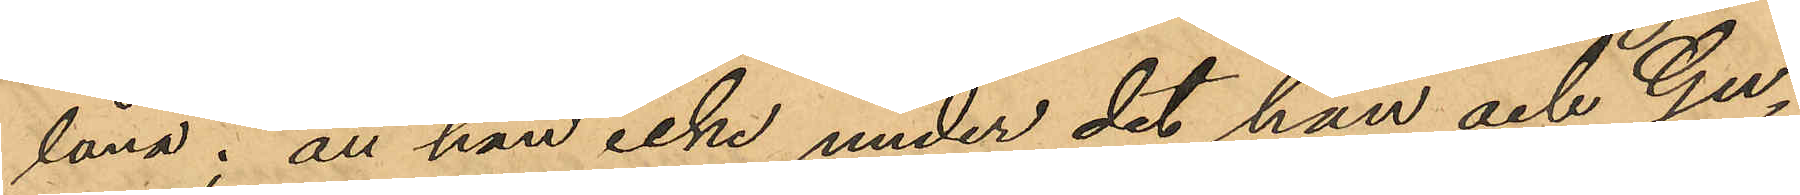låna; att han icke under det han och Gu¬
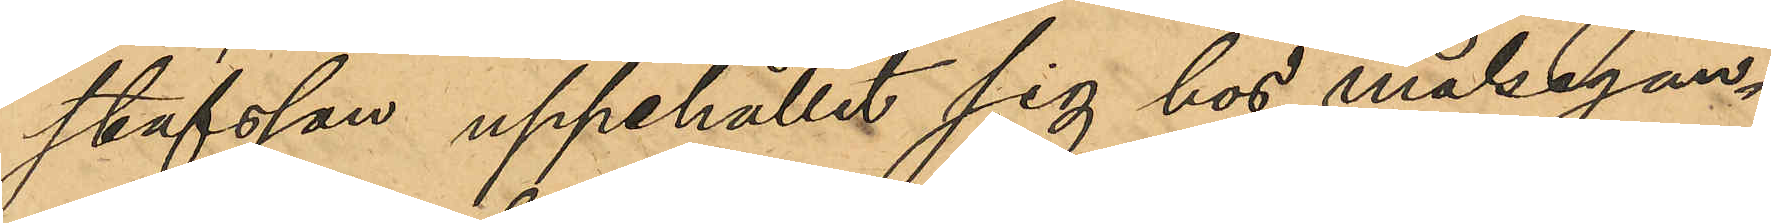stafsson uppehållit sig hos målsegan¬
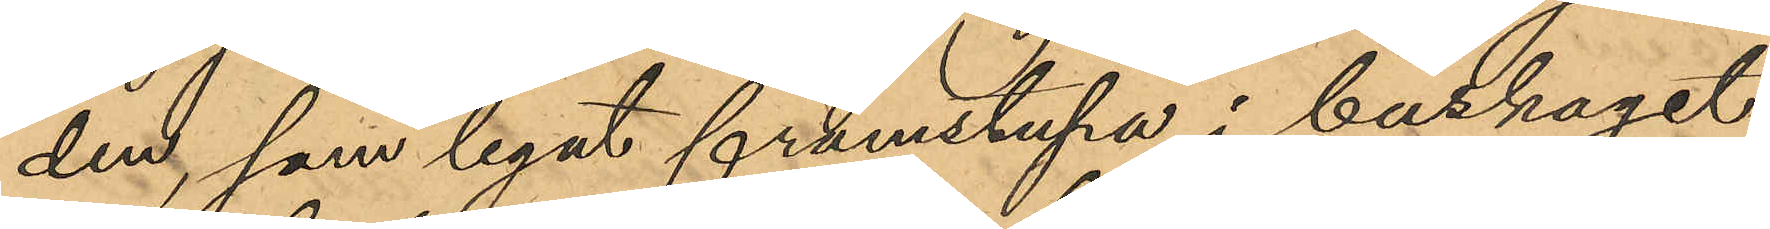den, som legat framstupa i burkaget
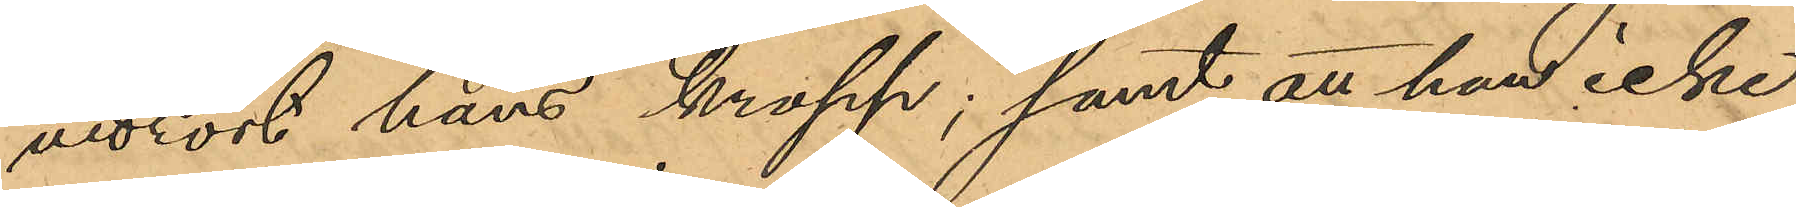vidrört hans kropp; samt att han icke
